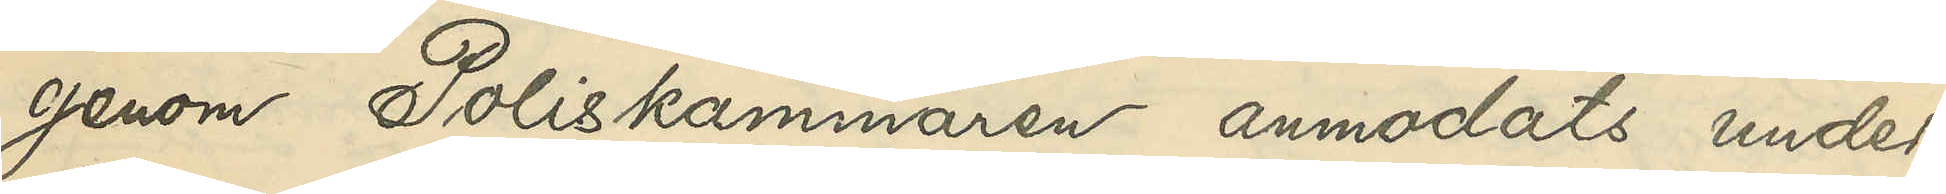genom Poliskammaren anmodats under¬
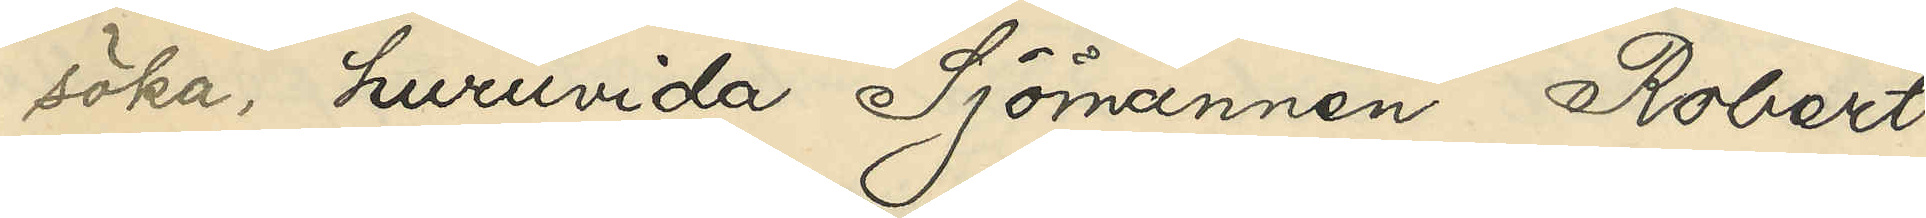söka, huruvida Sjömannen Robert
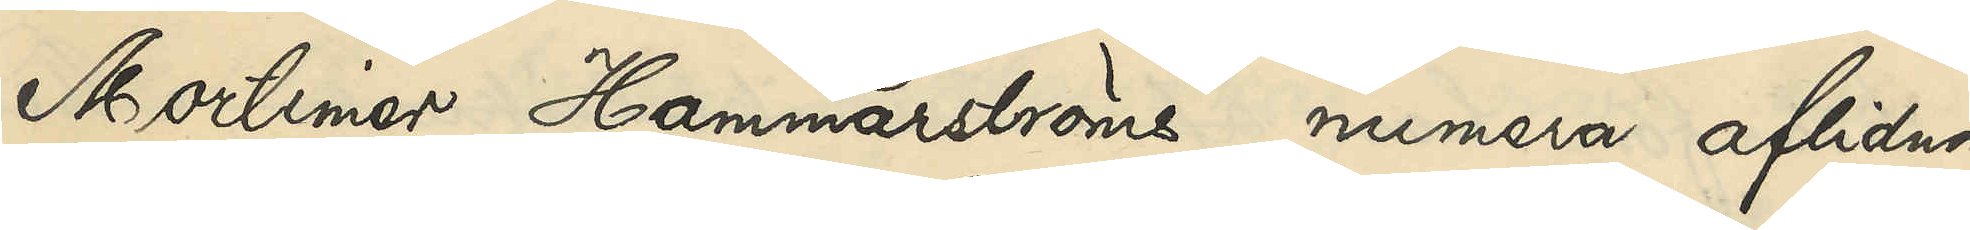Mortimer Hammarströms numera aflidna
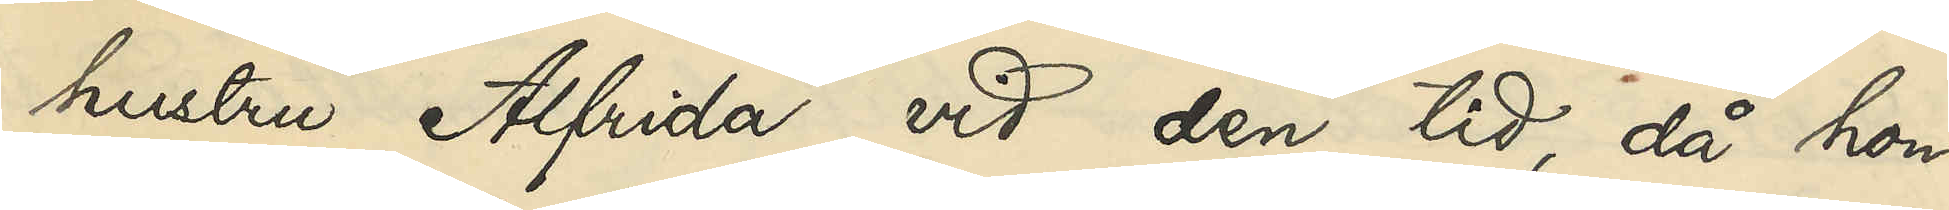hustru Alfrida vid den tid, då hon
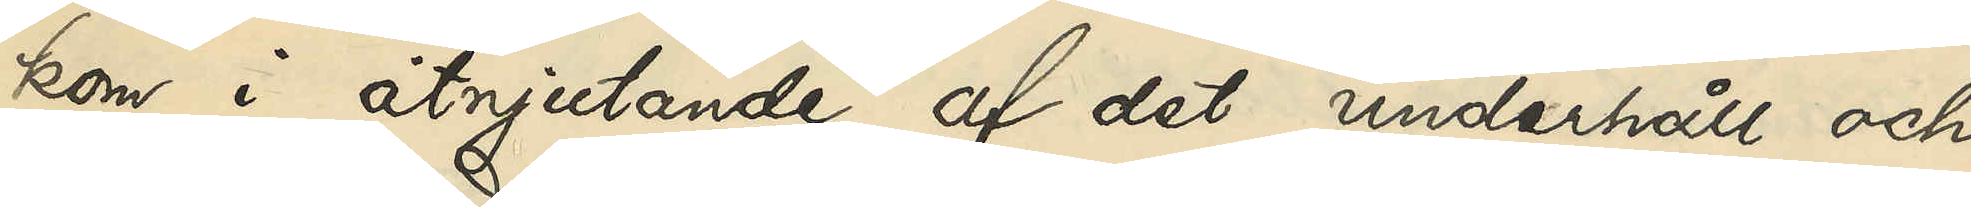kom i åtnjutande af det underhåll och
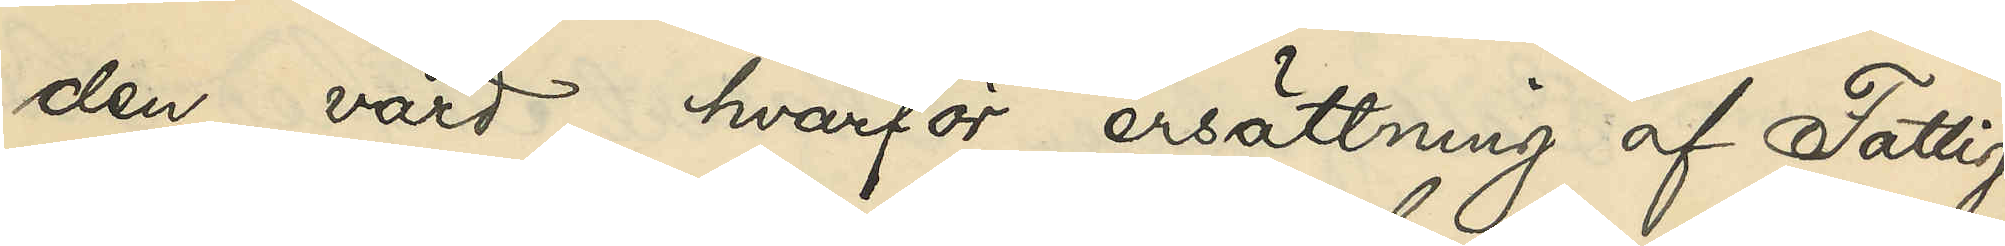den vård, hvarför ersättning af Fattig¬
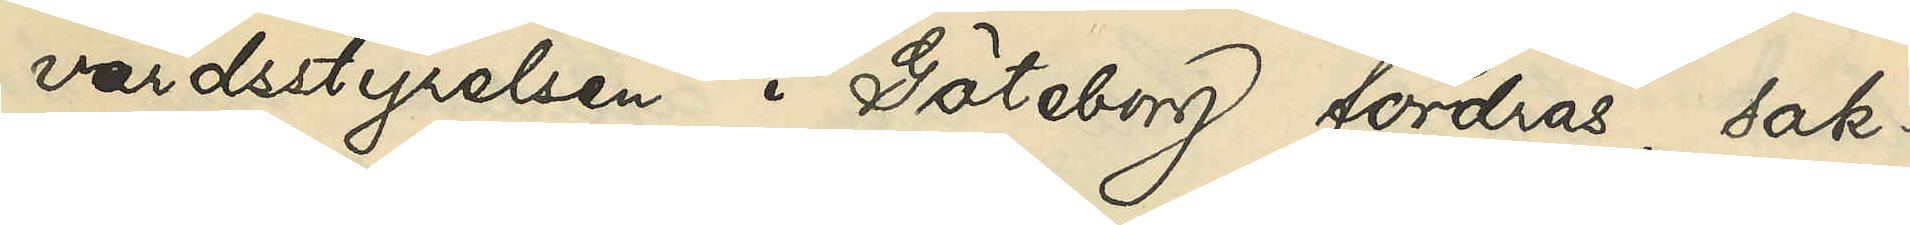vårdsstyrelsen i Göteborgs fordras, sak¬
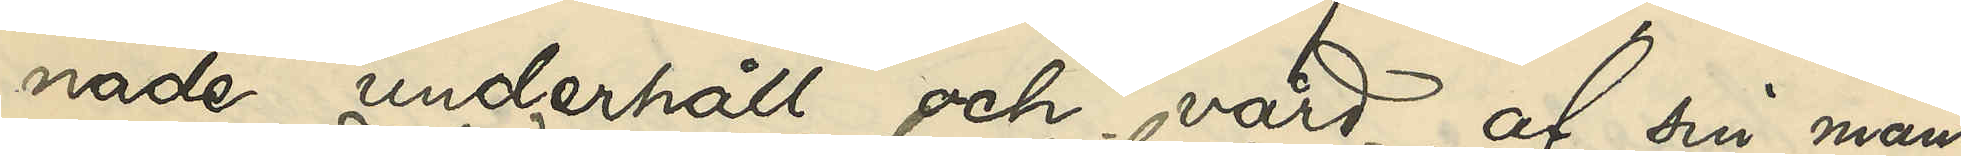nade underhåll och vård af sin man,
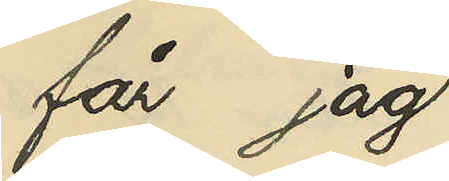får jag
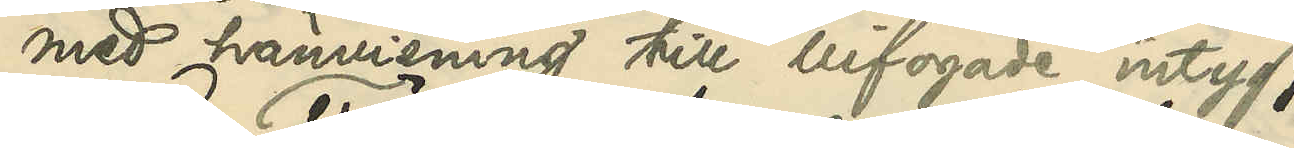med hänvisning till bifogade intyg
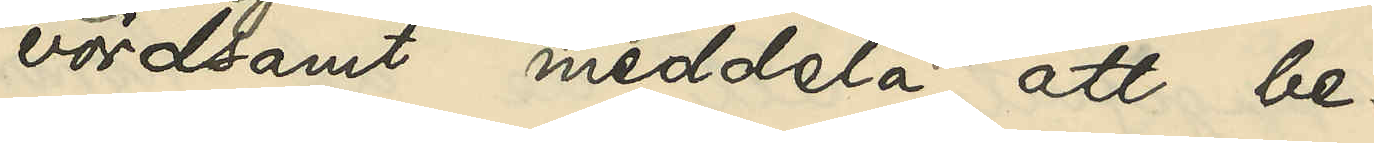vördsamt meddela, att be¬
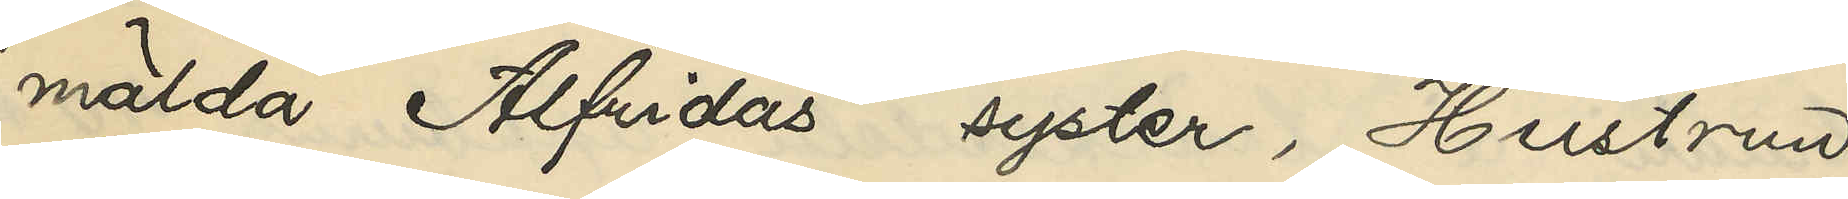mälda Alfridas syster, Hustrun
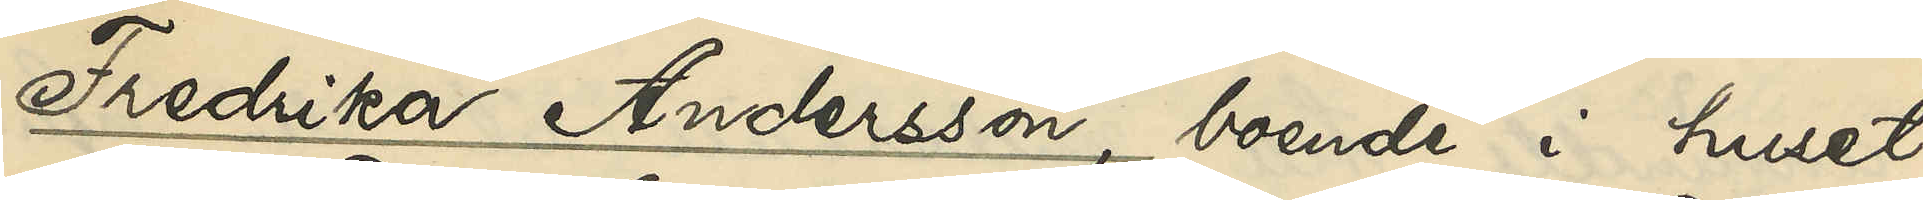Fredrika Andersson, boende i huset
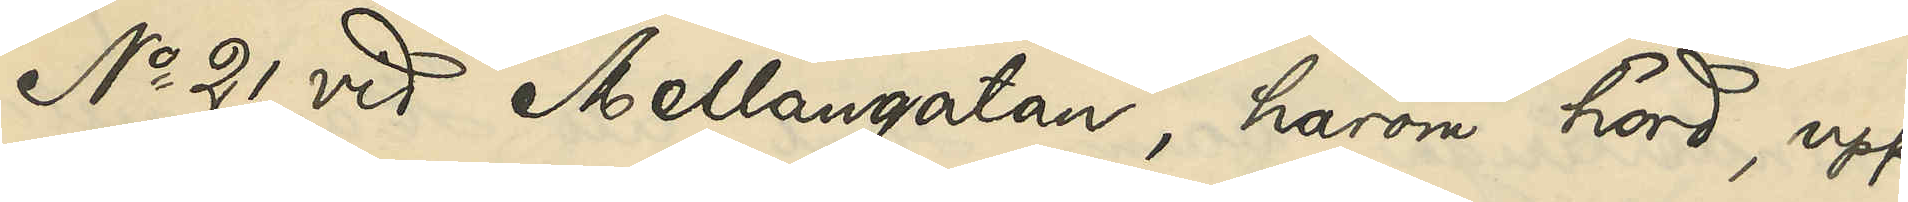No 21 vid Mellangatan, härom hörd, upp¬
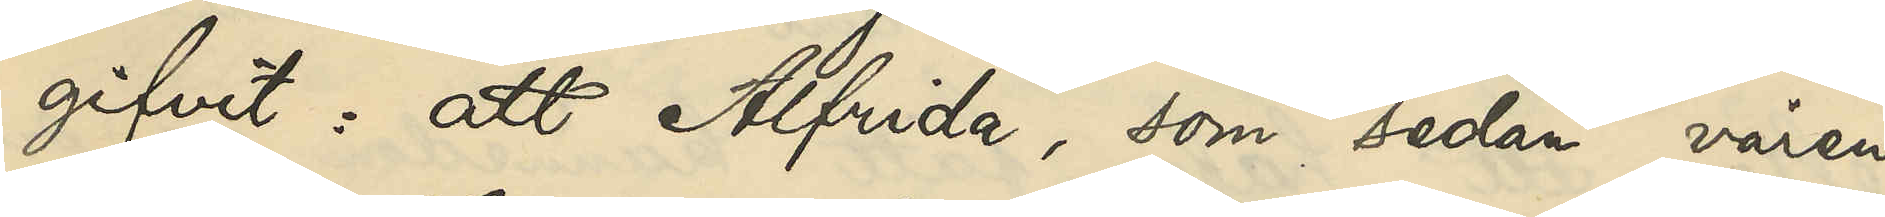gifvit: att Alfrida, som sedan våren
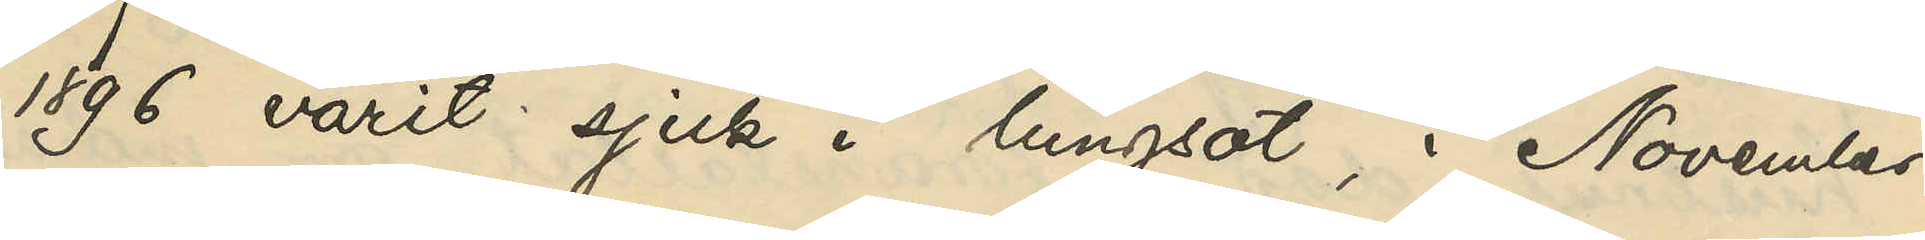1896 varit sjuk i lungsot, i November
